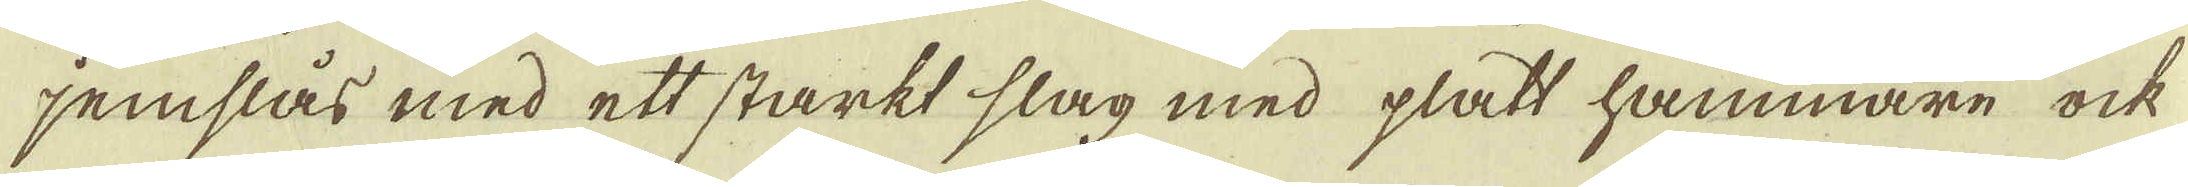jemslås med ett starkt slag med platt hammare ock
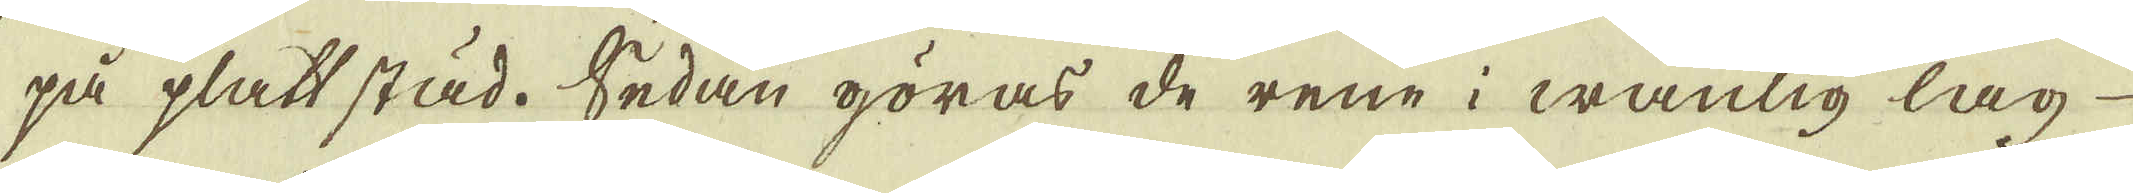på platt städ. Sedan göras de rene i wanlig lag
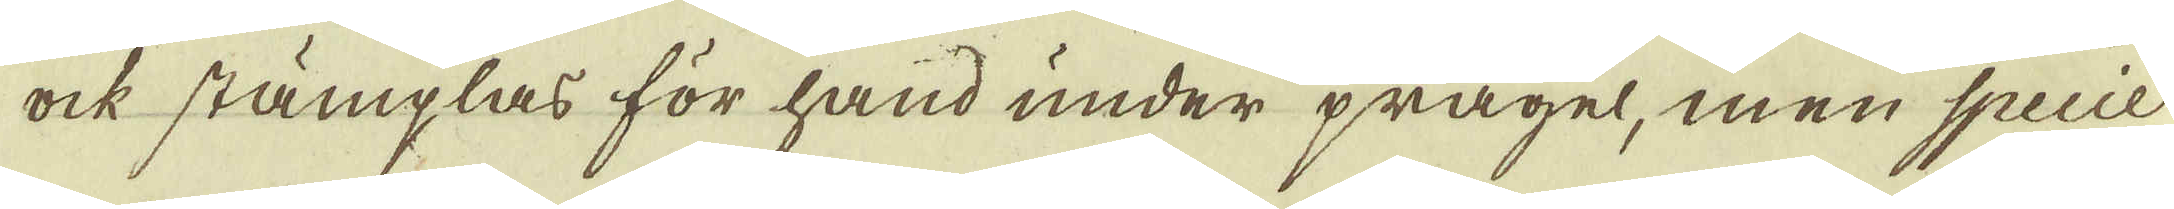ock stämplas för hand under prägel, men Specie-
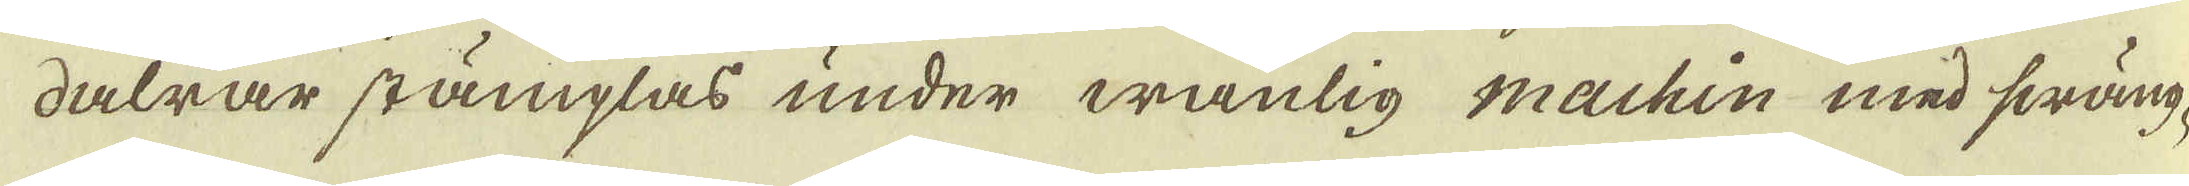dalrar stämplas under wånlig machin med swäng-
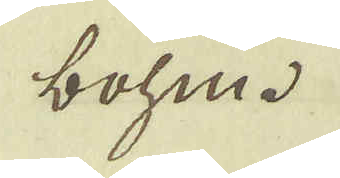bohm.
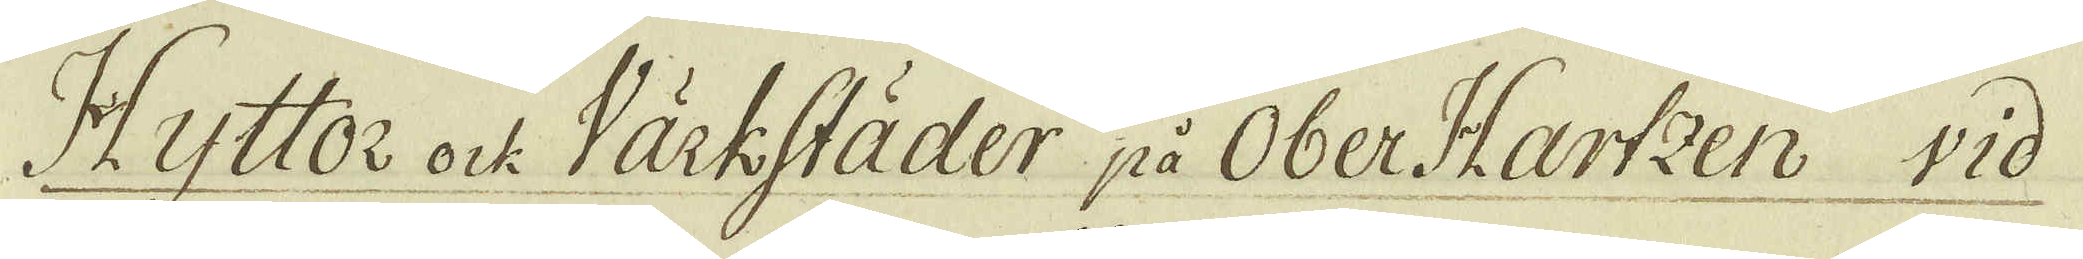Hyttor ock Värkstäder på Ober Hartzen wid
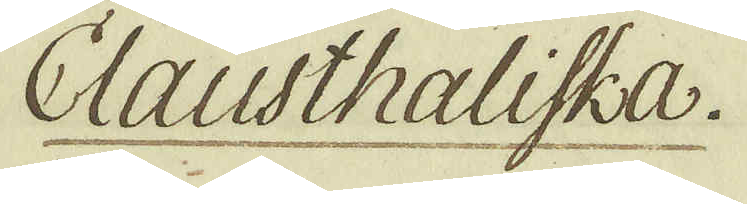Clausthaliska.
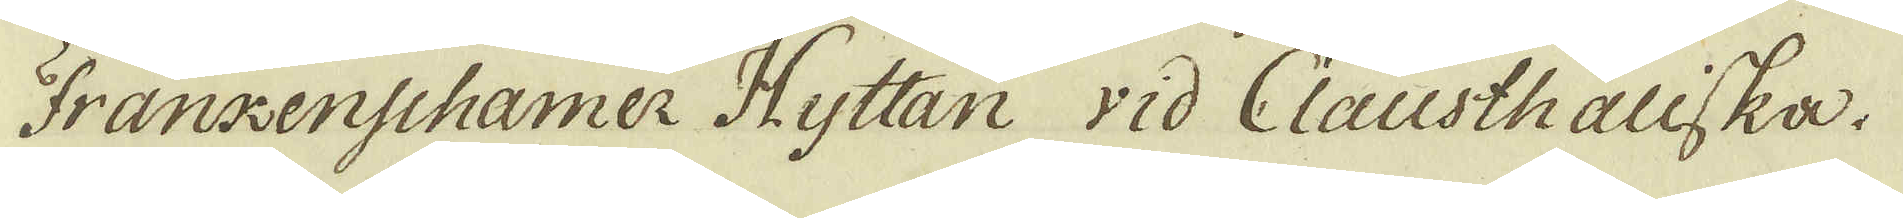Frankenschamer Hyttan vid Clausthaliska.
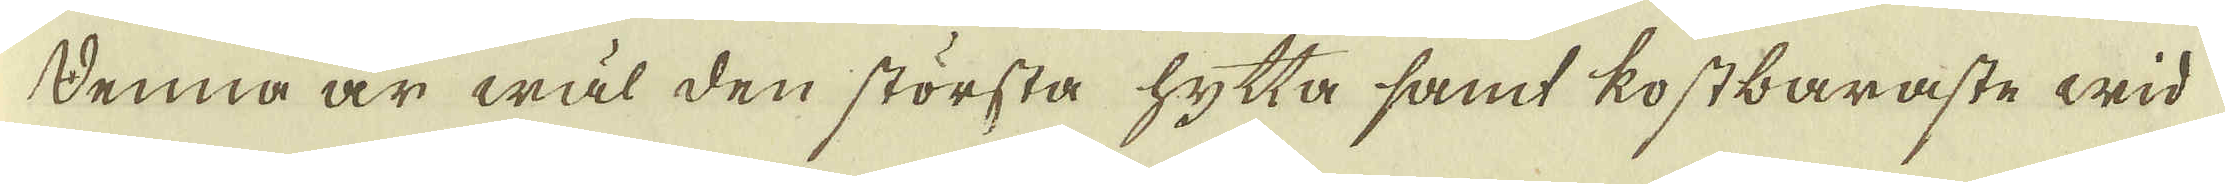Denna är wäl den största hytta samt kostbaraste wid
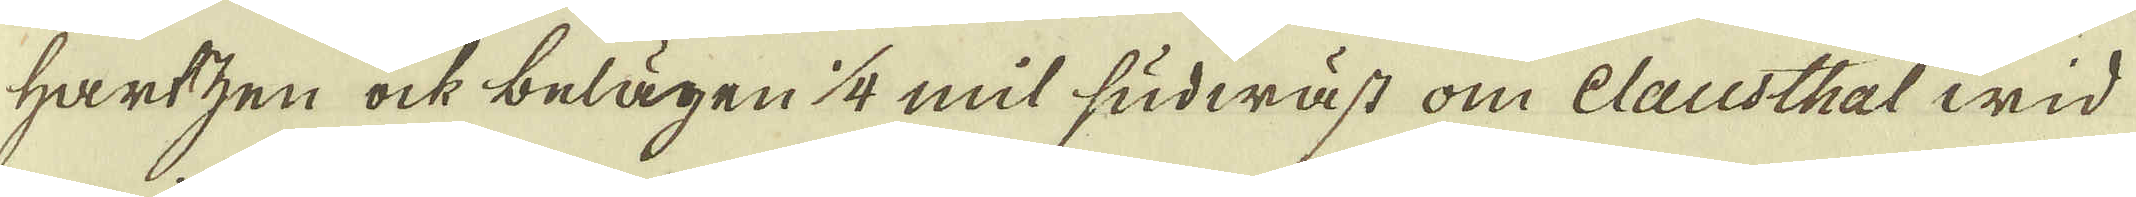Hartzen ock belägen 1/4 mil sudwäst om Clausthal wid
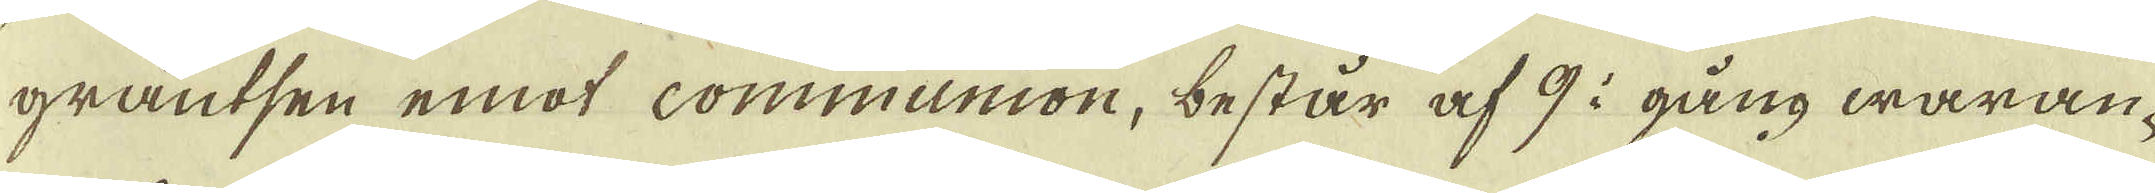gräntsen emot communion, består af 9 i gång waran-
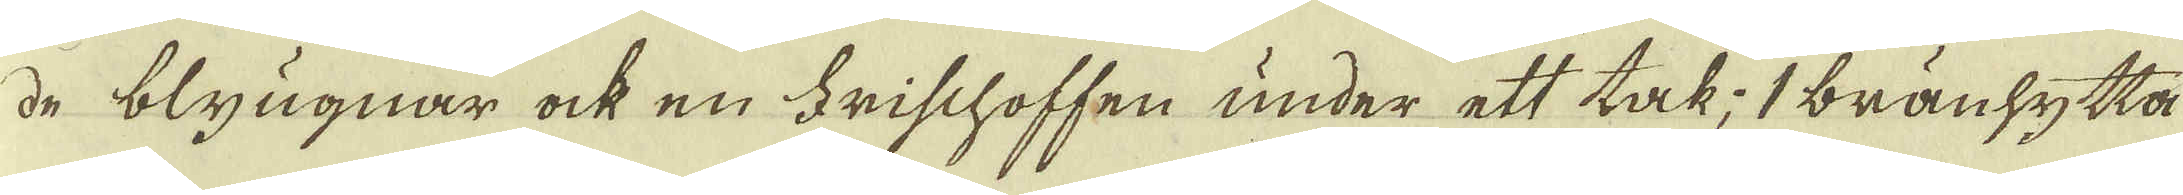de blyugnar ock en Frischoffen under ett tak; 1 bränhytta
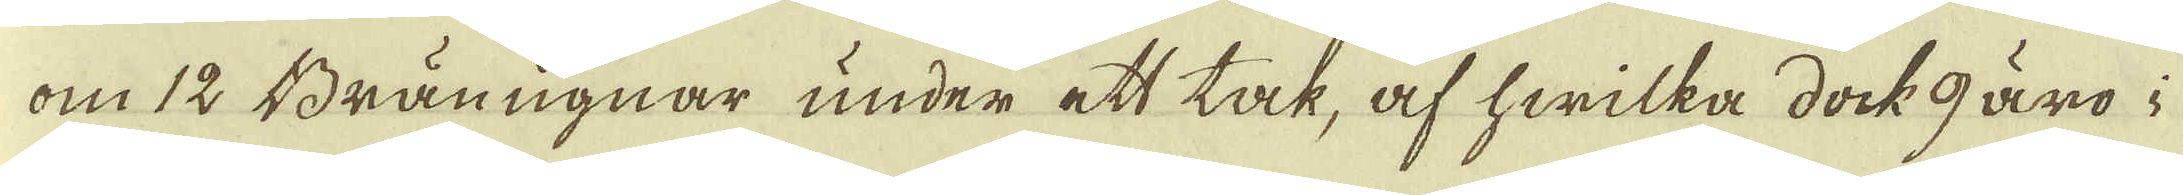om 12 Bränugnar under ett tak, af hwilka dock 9 äro i
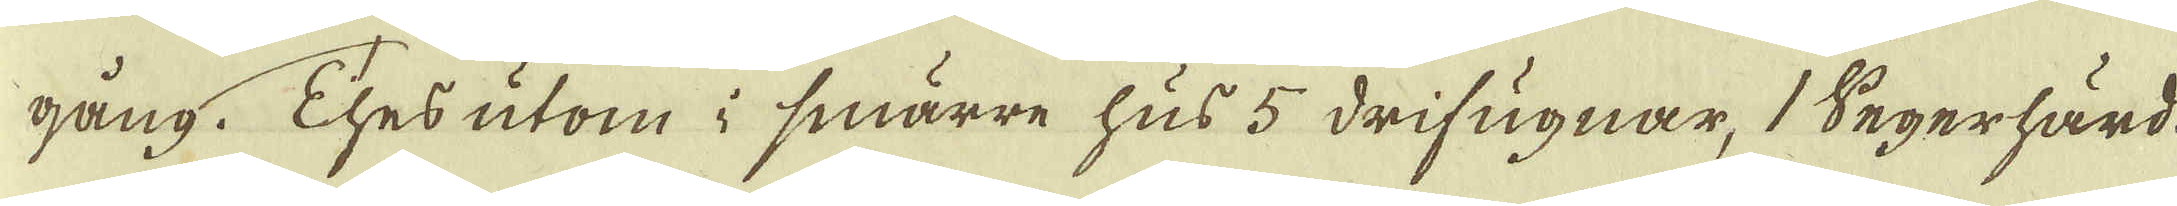gång. Thes utom i smärre hus 5 drifugnar, 1 Segerhärd-
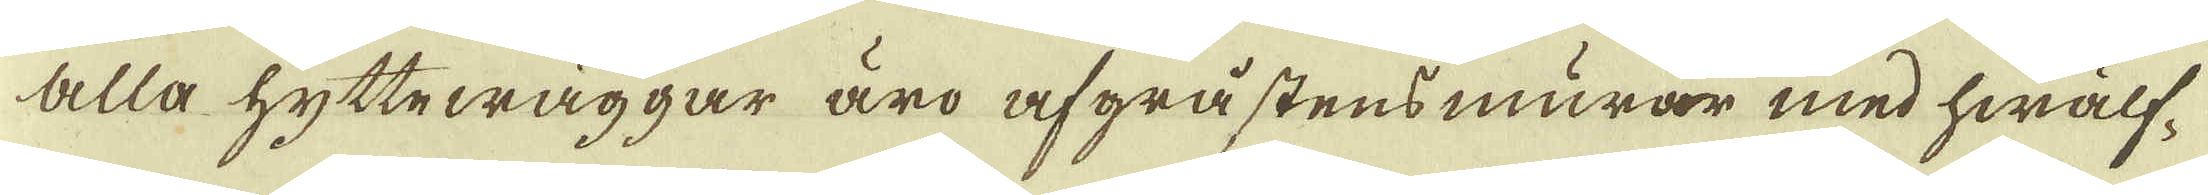Alla hyttewäggar äro afgråstensmurar med hwälf-
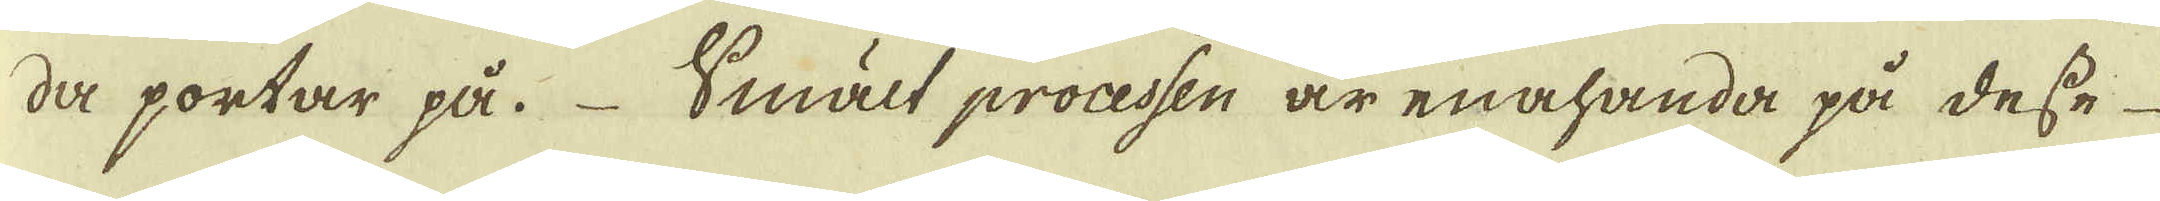da portar på. Smält processen är enahanda på desse
